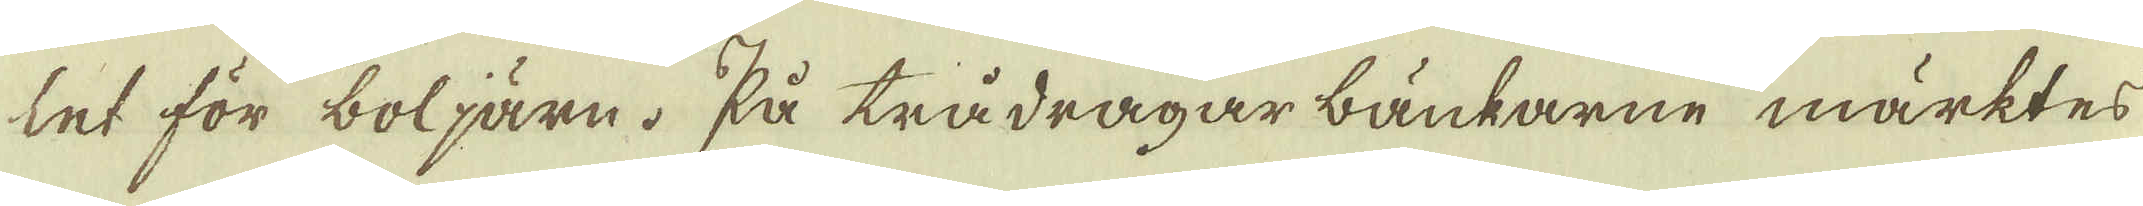let för boljärn. På trådragar bänkarne märktes
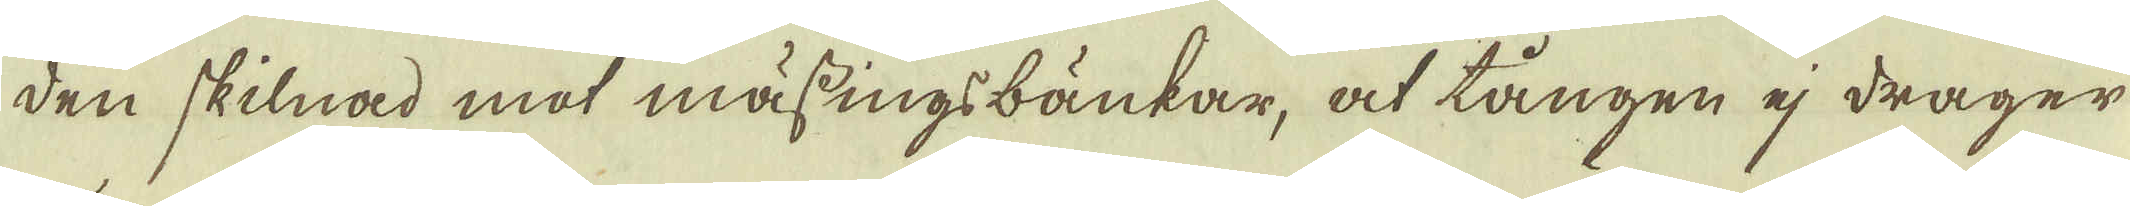den skilnad mot mässingsbänkar, at tången ej drager
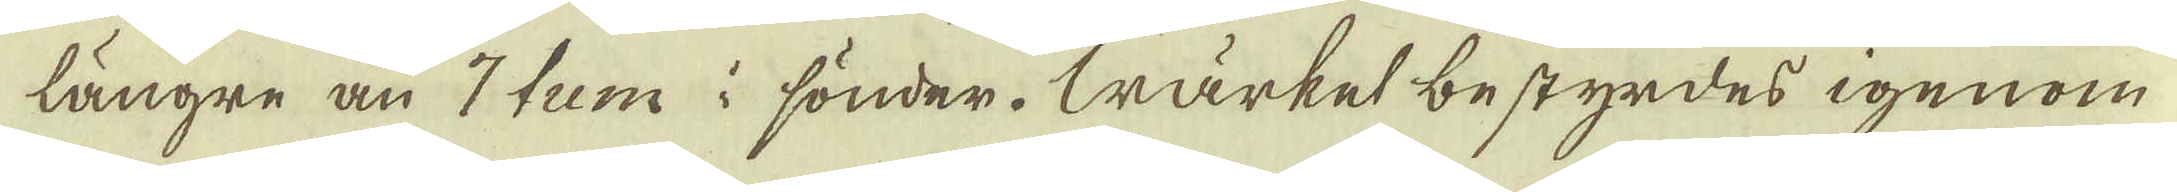längre än 7 tum i sönder. Wärket bestyrdes igenom
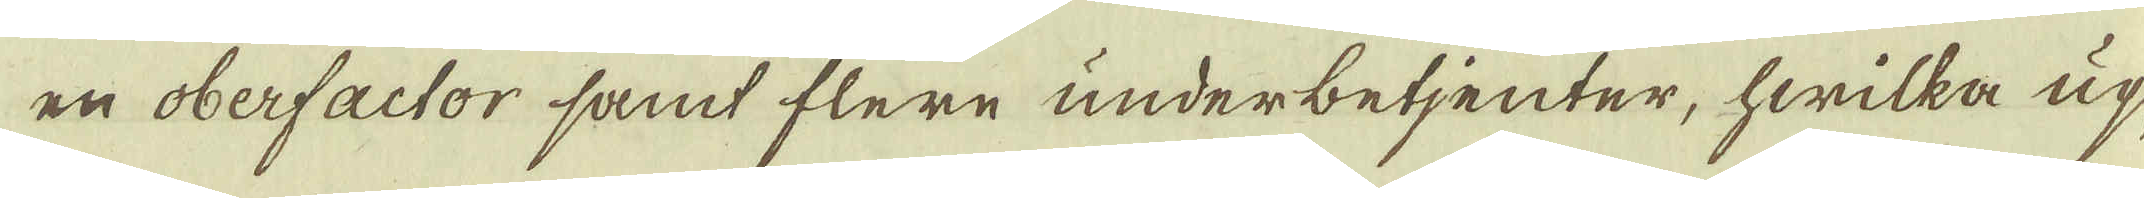en oberfactor samt flere underbetjenter, hwilka up-
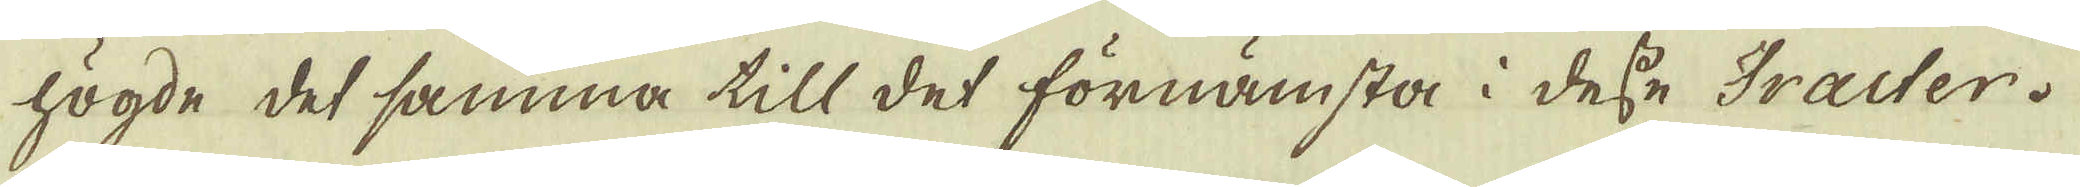högde det samma till det förnämsta i desse Traiter.
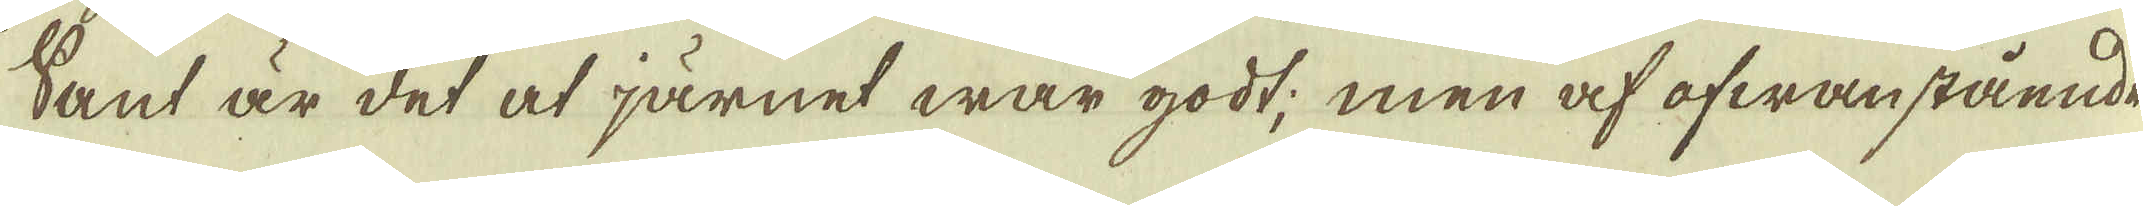Sant är det at järnet war godt; men af ofwanstående
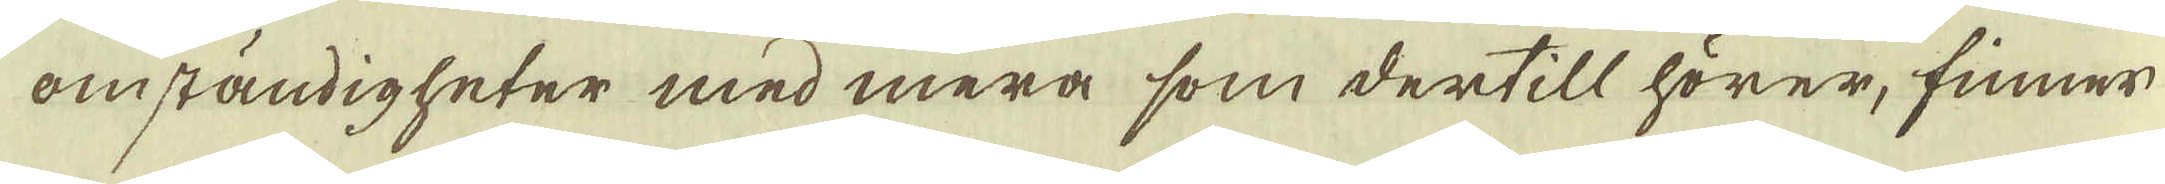omständigheter med mera som dertill hörer, finner
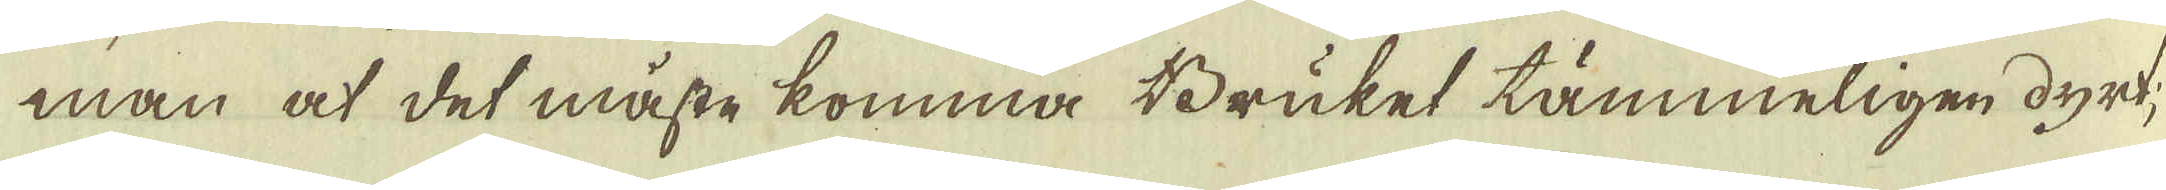man at det måste komma Bruket tämmeligen dyrt,
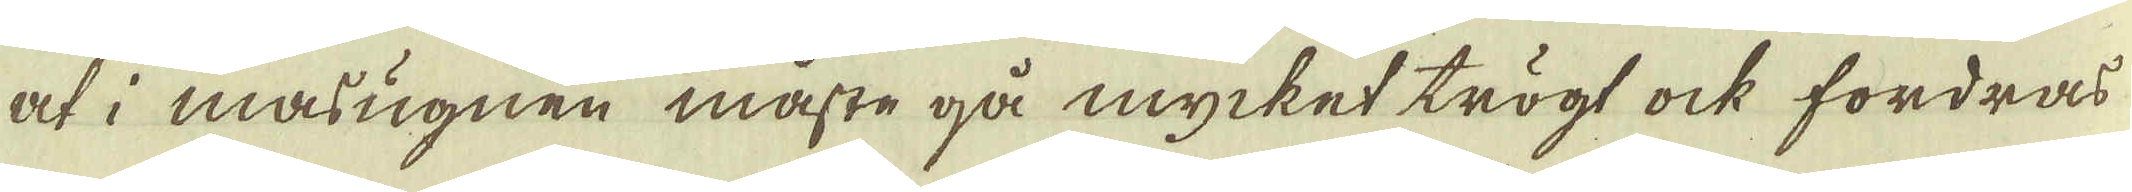at i massugnen måste gå mycket trögt ock fordras
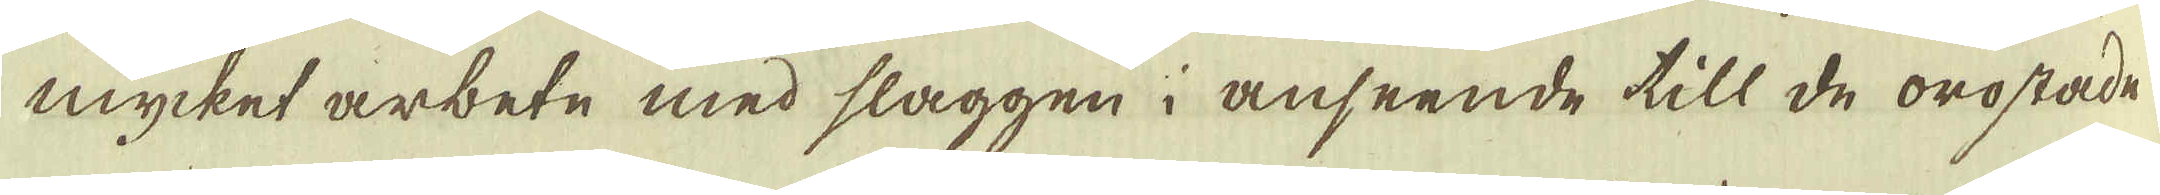mycket arbete med slaggen i anseende till de orostade
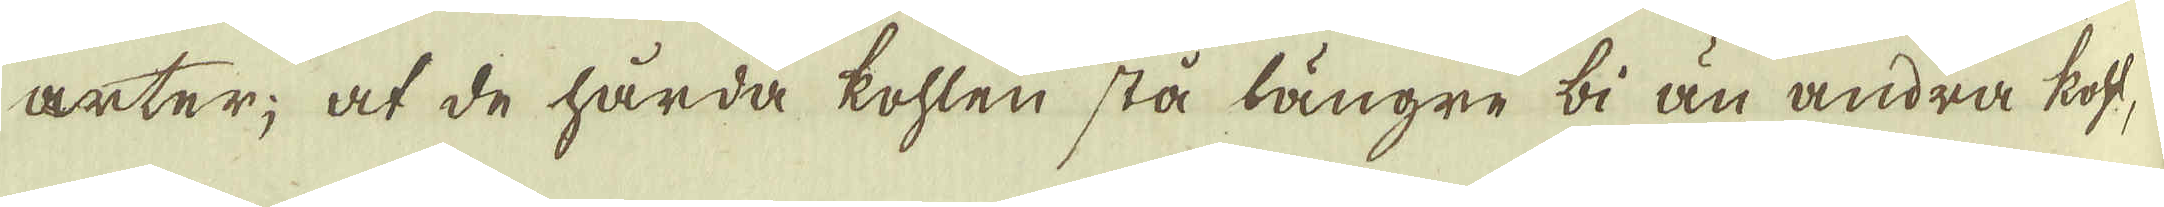arter; at de hårda kohlen stå längre bi än andra koft,
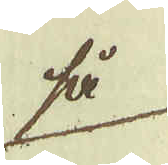så
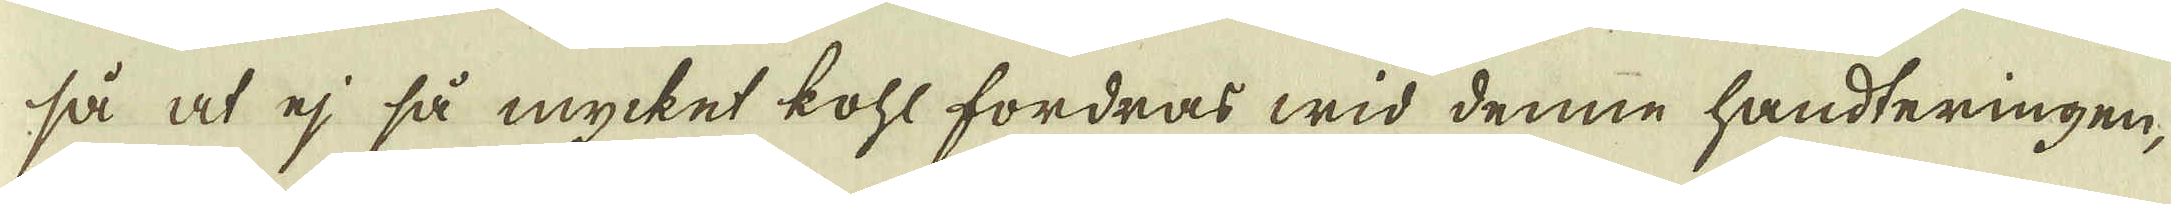så at ej så mycket kohl fordras wid denne handteringen,
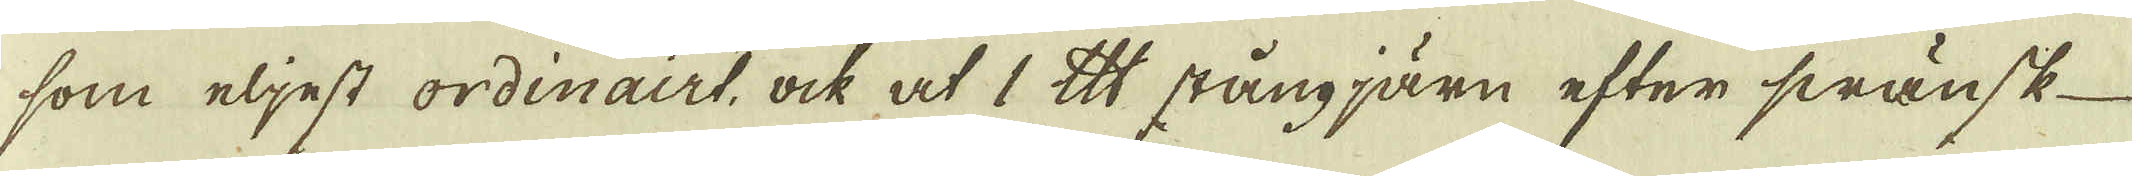som eljest ordinairt, ock at 1 lispund stångjärn efter swänsk-
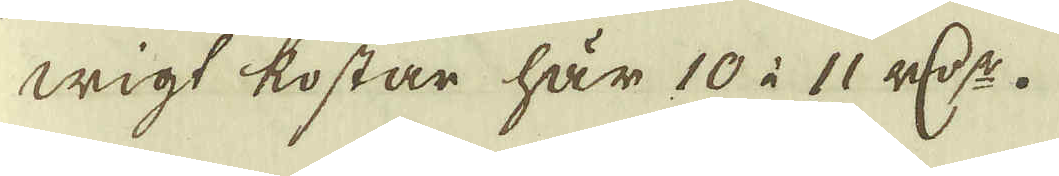wigt kostar här 10 à 11 r:dr.
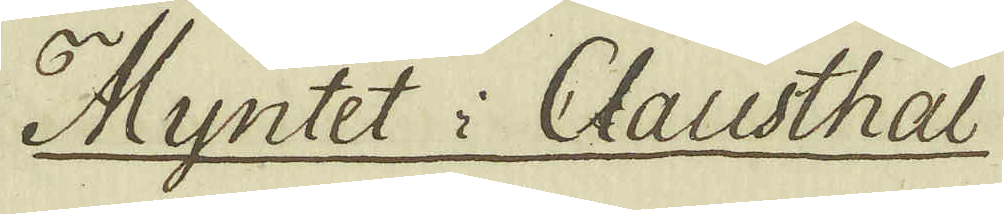Myntet i Clausthal
